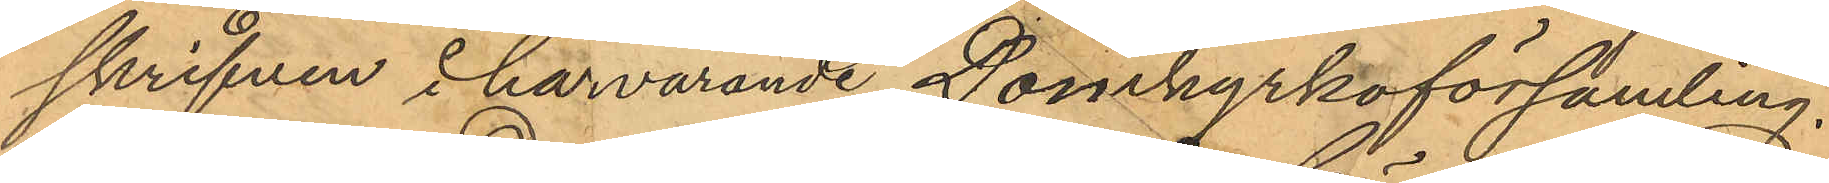skrifven i härvarande Domkyrkoförsamling.
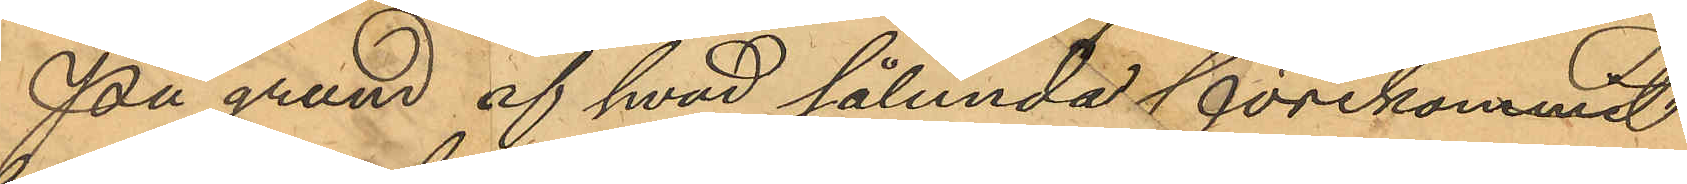På grund af hvad sålunda förekommit
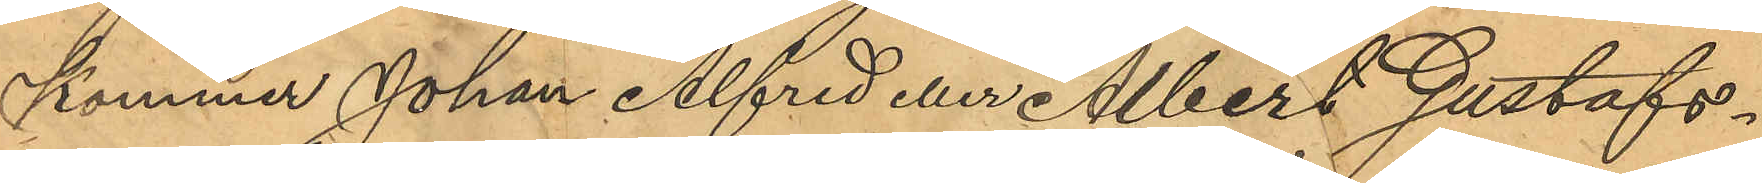kommer Johan Alfred eller Albert Gustafs¬
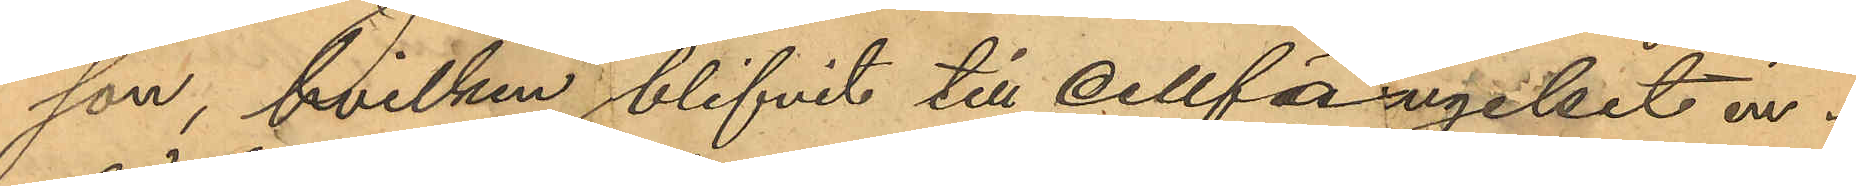son, hvilken blifvit till till cellfängelset in¬
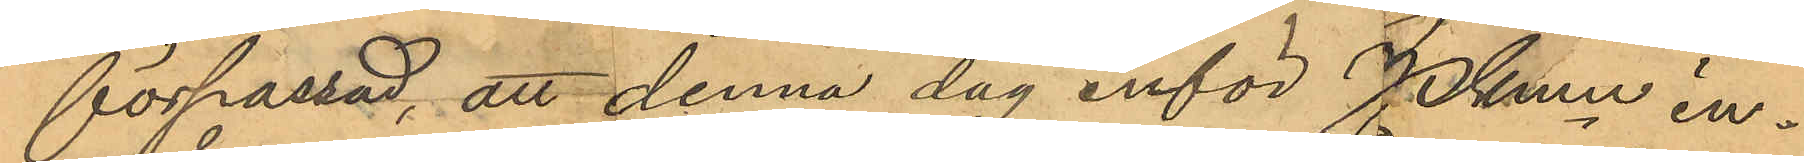förpassad, att denna dag inför Pkmn in¬
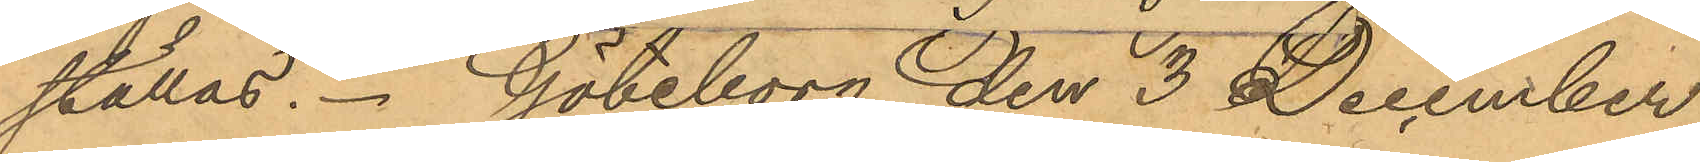ställas. Göteborg den 3 December
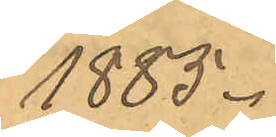1885.
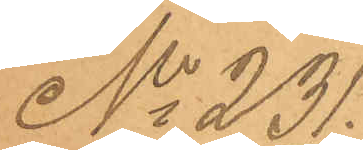No 231.
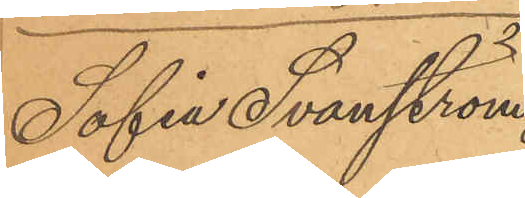Sofie Svanström
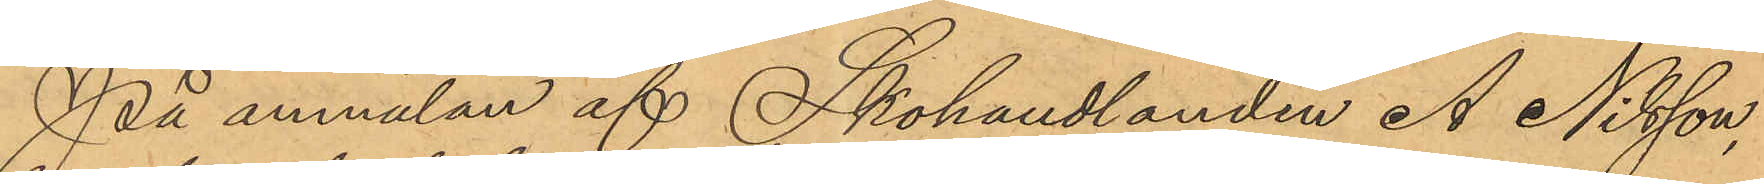På anmälan af Skohandlanden A. Nilsson,
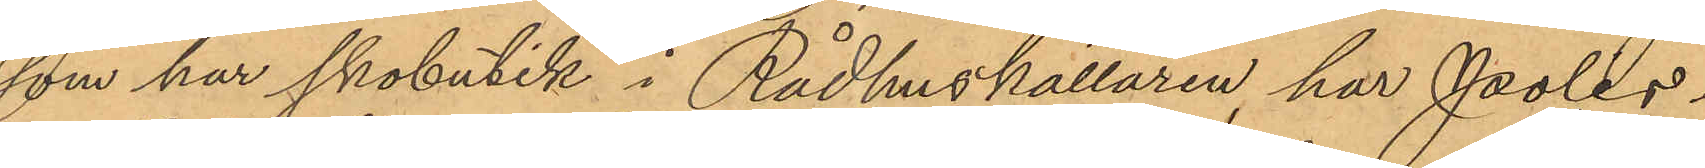som har skobutik i Rådhuskällaren, har Polis¬
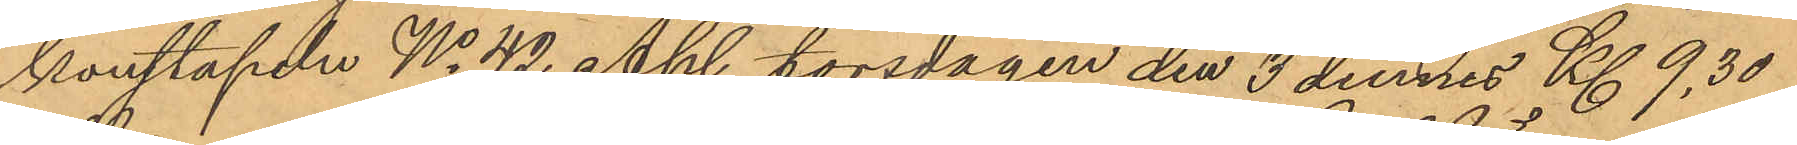konstapeln No 42 Ahl torsdagen den 3 dennes Kl. 9,30
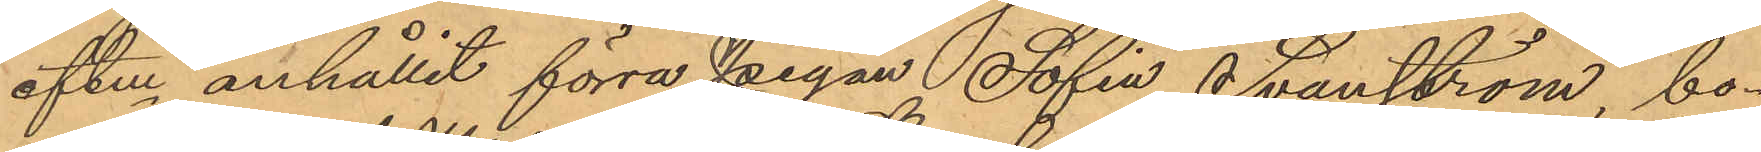eftm anhållit förra pigan Sofia Svanström, bo¬
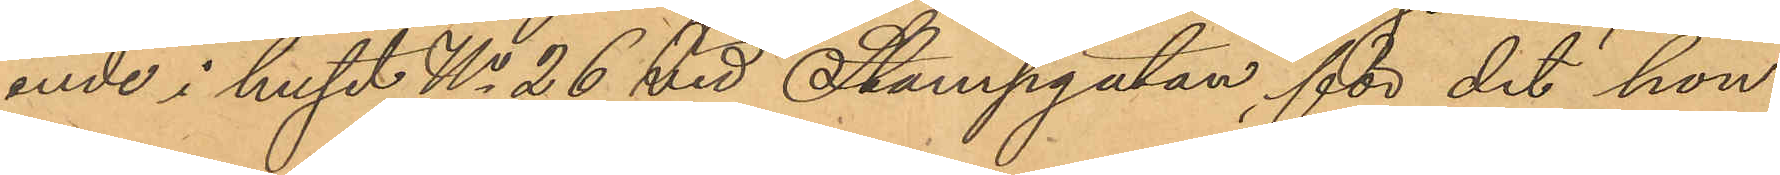ende i huset No 26 vid Stampgatan, för det hon
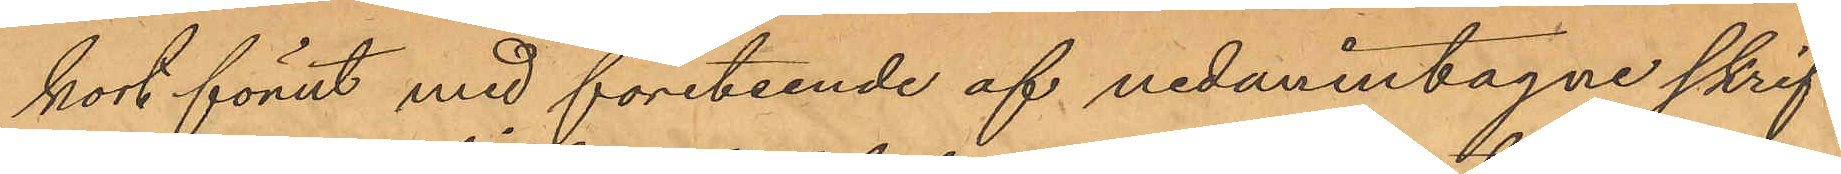kort förut med företeende af nedanintagne skrif¬
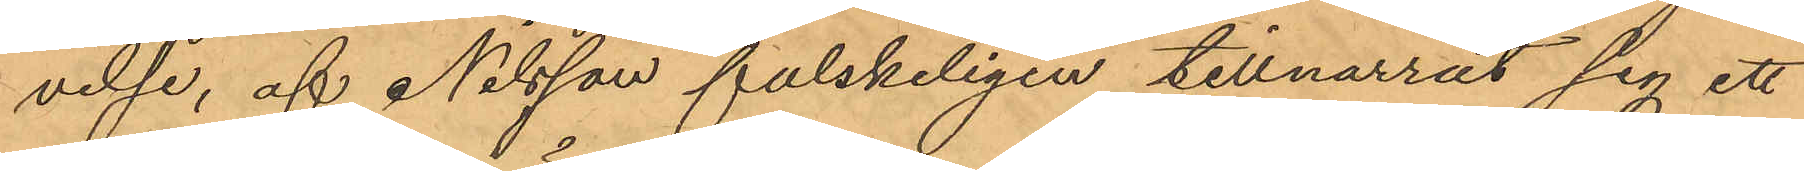velse, af Nilsson falskeligen tillnarrat sig ett
